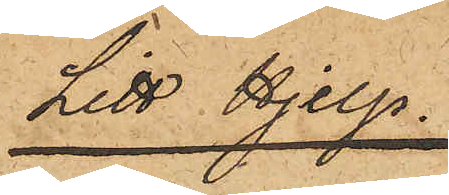Litt Hjelp.
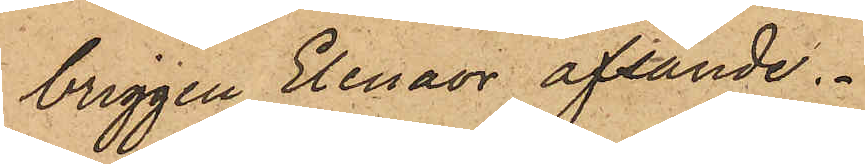briggen Elenaor afsände.
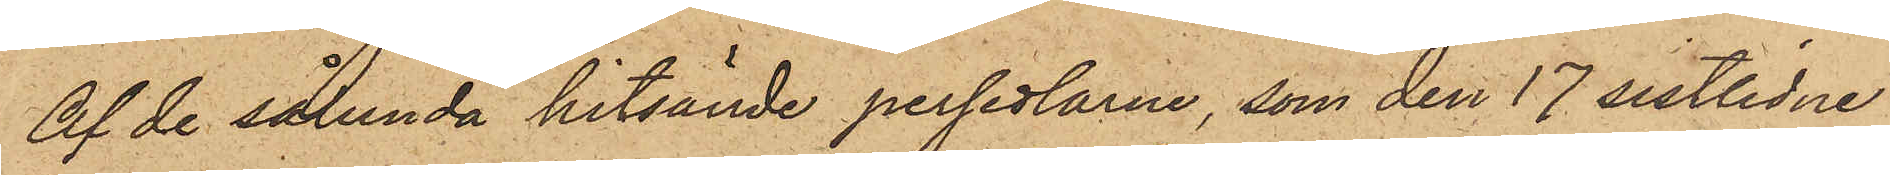Af de sålunda hitsände persedlarne, som den 17 sistlidne
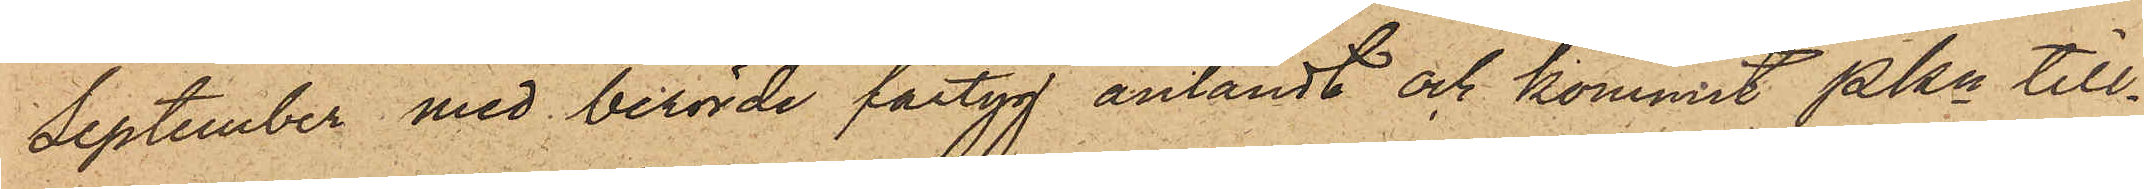September med berörde fartyg anländt och kommit Pkn till¬
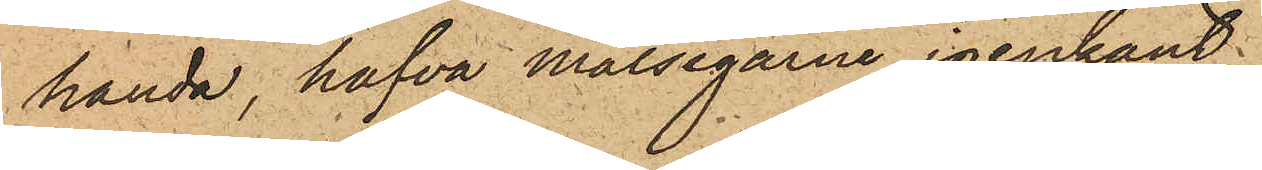handa, hafva målsegarne igenkänt
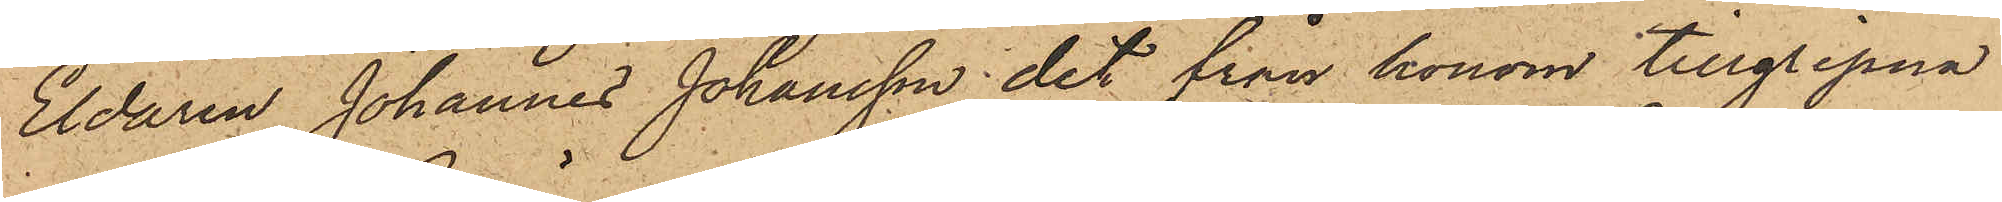Eldaren Johannes Johansson det från honom tillgripna
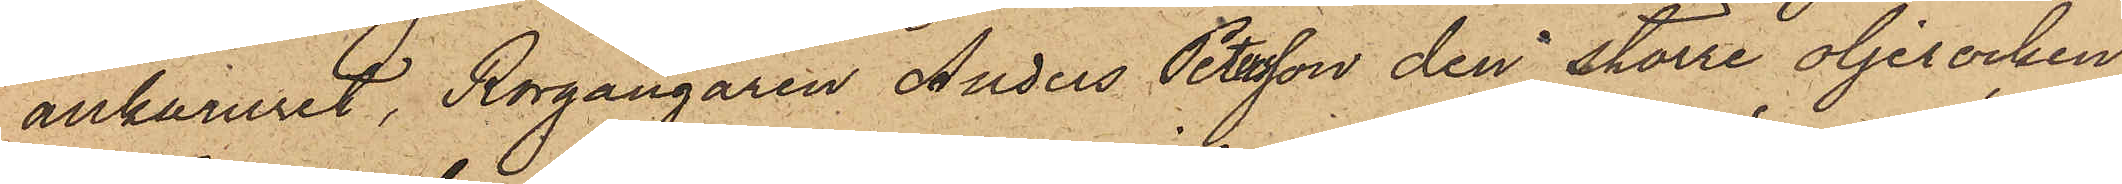ankaruret, Rorgängaren Anders Petersson den större oljerocken,
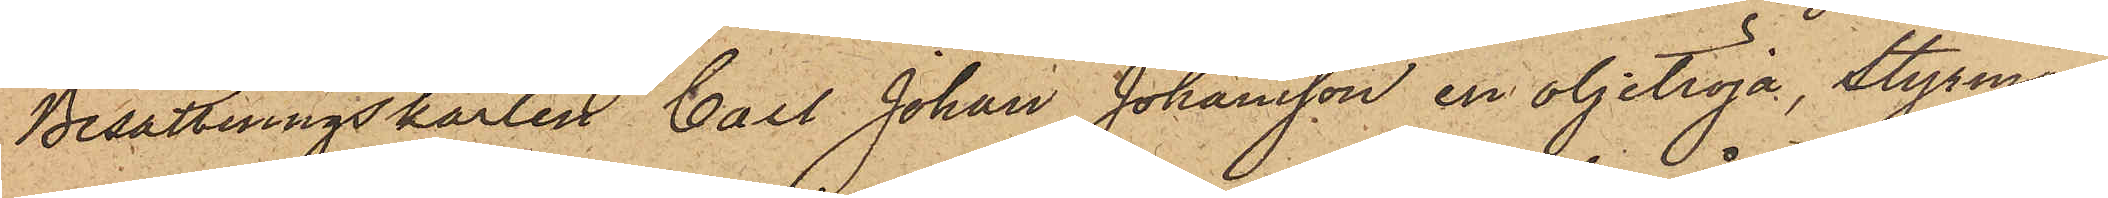Besättningskarlen Carl Johan Johansson en oljetröja, Styrman¬
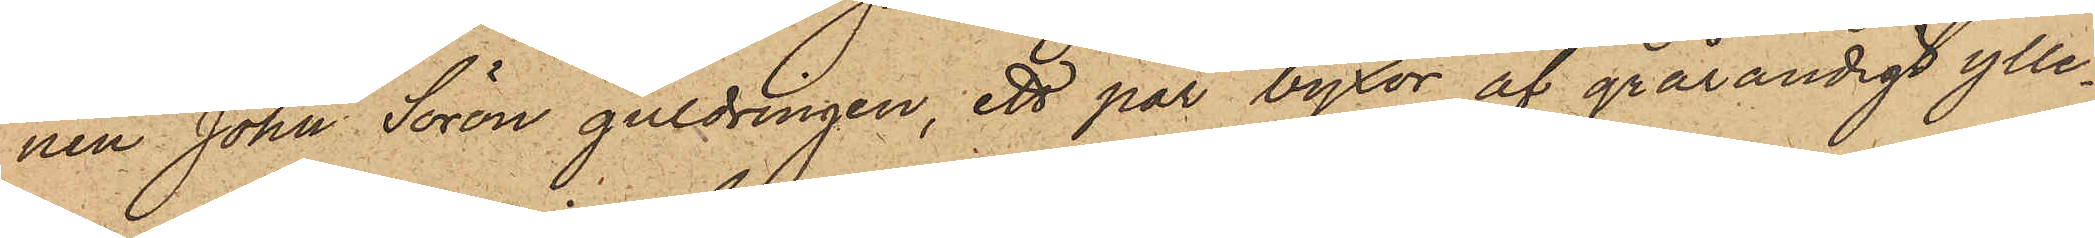nen John Sorön guldringen, ett par byxor af grårandigt ylle¬
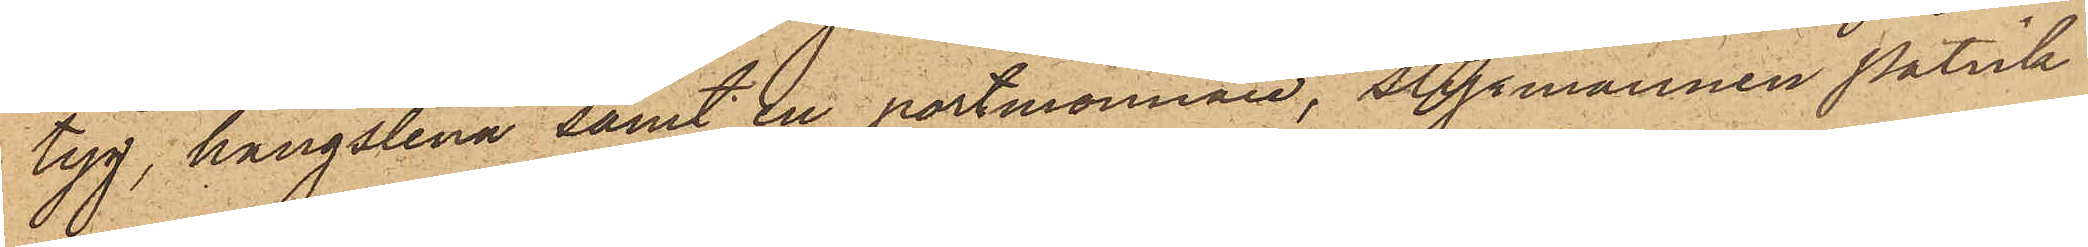tyg, hängslena samt en portmonnaie, Styrmannen Patrik
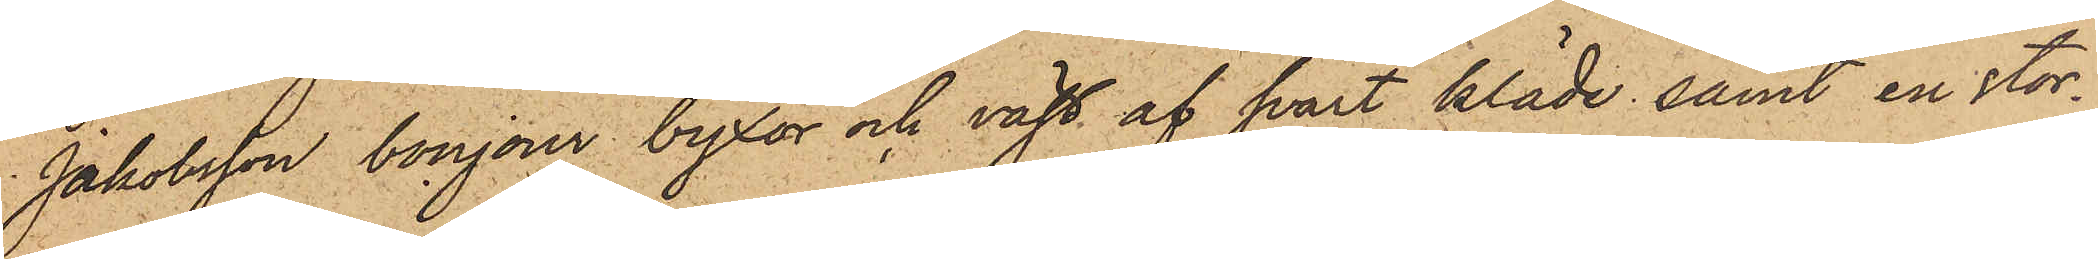Jakobsson bonjour byxor och väst af svart kläde samt en stor¬
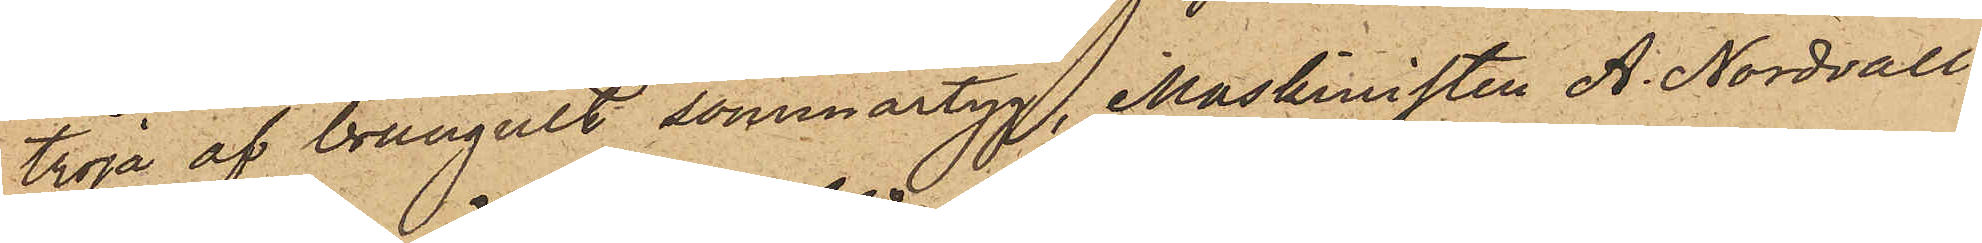tröja af brungult sommartyg, Maskinisten A. Nordvall
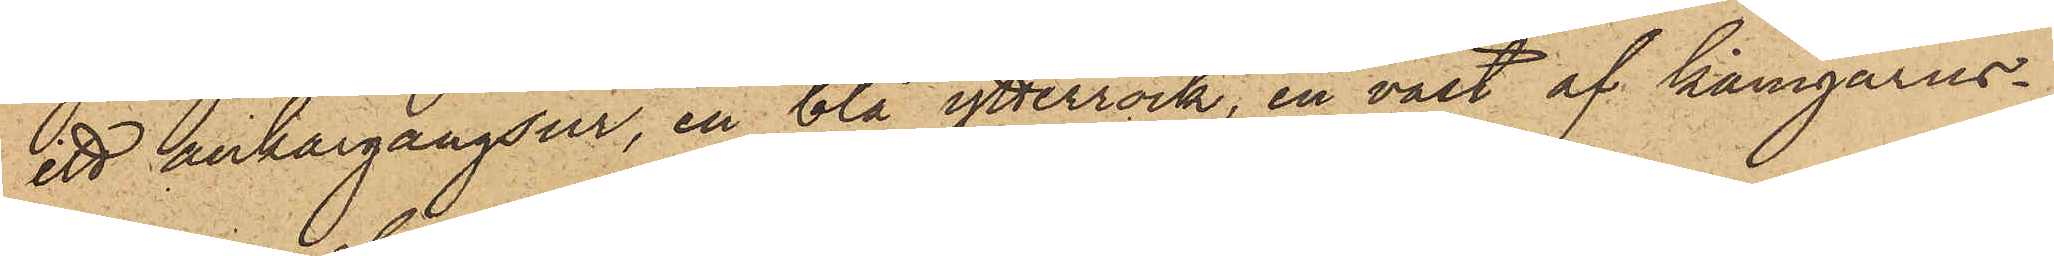ett ankargångsur, en blå ytterrock, en väst af kamgarns¬
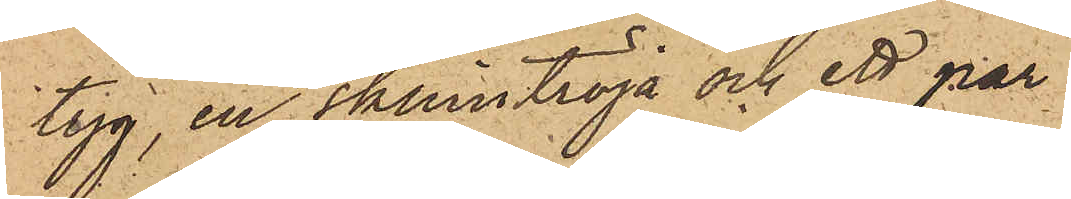tyg, en skinntröja och ett par
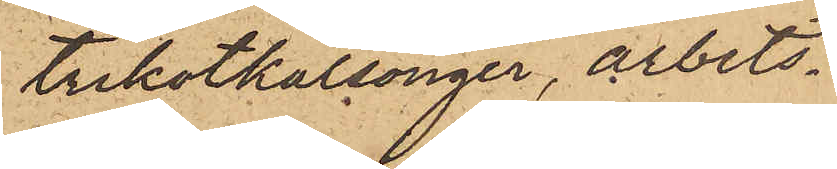trikotkalsonger, arbets¬
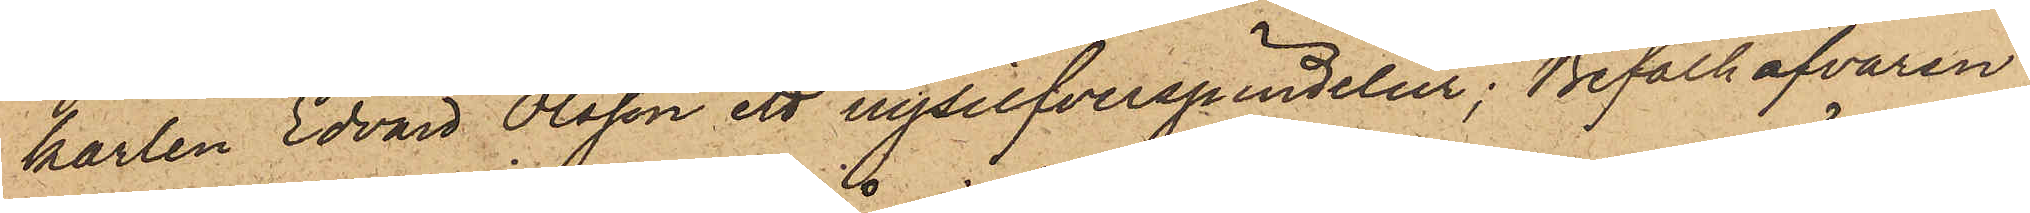karlen Edvard Olsson ett nysilfverspindelur, Befälhafvaren
